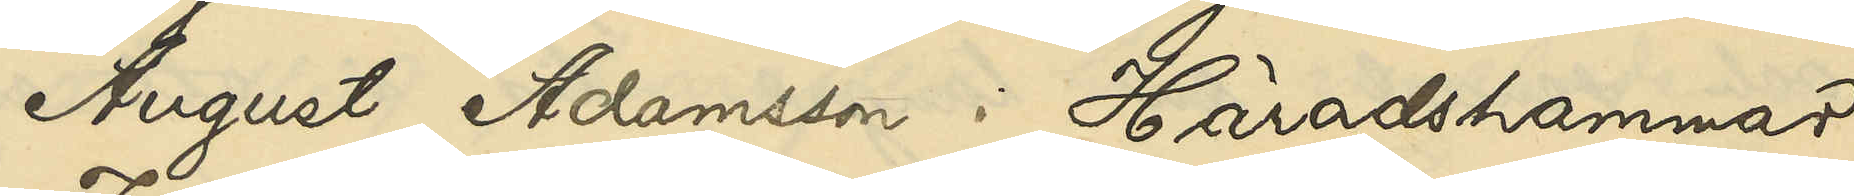August Adamsson i Häradshammar,
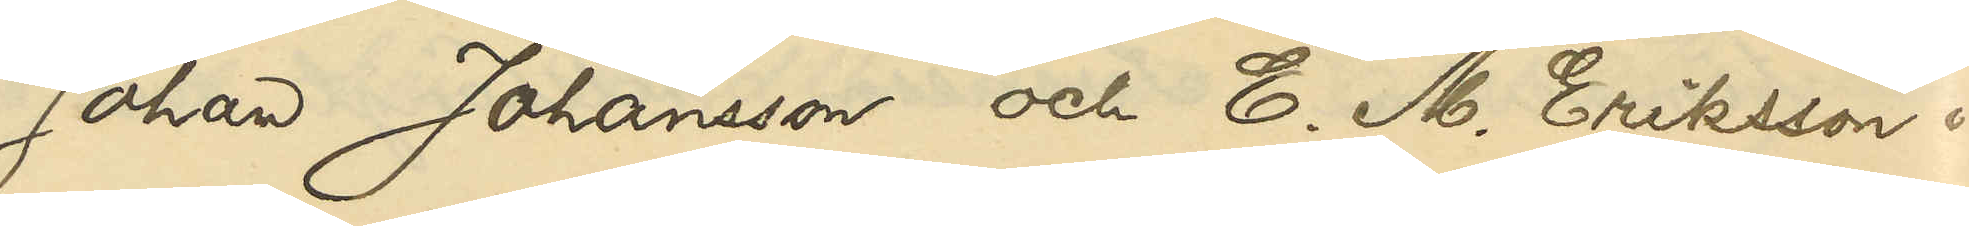Johan Johansson och E. M. Eriksson i
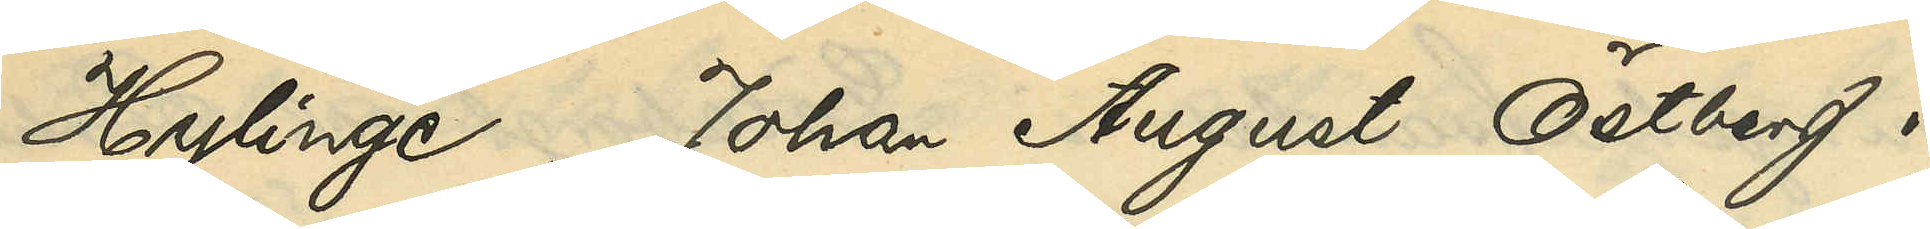Hylinge, Johan August Östberg i
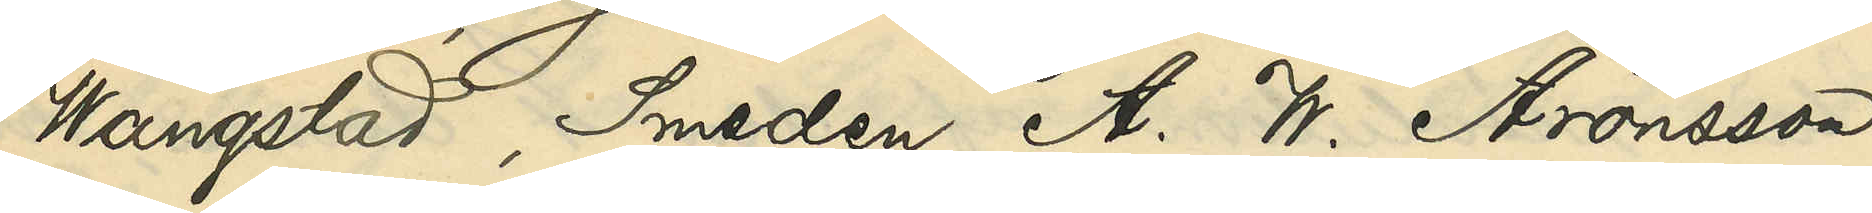Wangstad, Smeden A. W. Aronsson
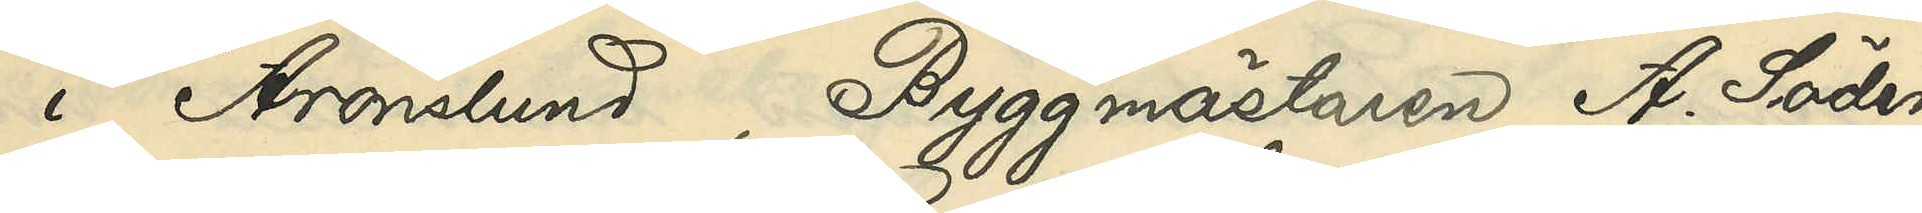i Aronslund, Byggmästaren A. Söder¬
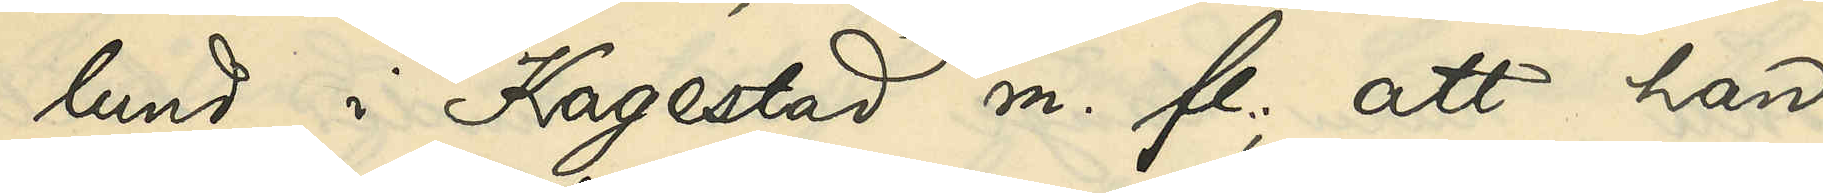lund i Kagestad m. fl.; att han
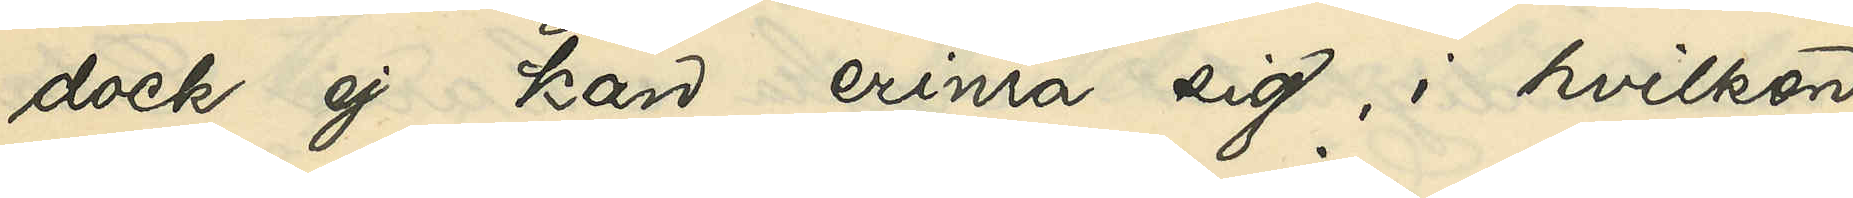dock ej kan erinra sig i hvilken
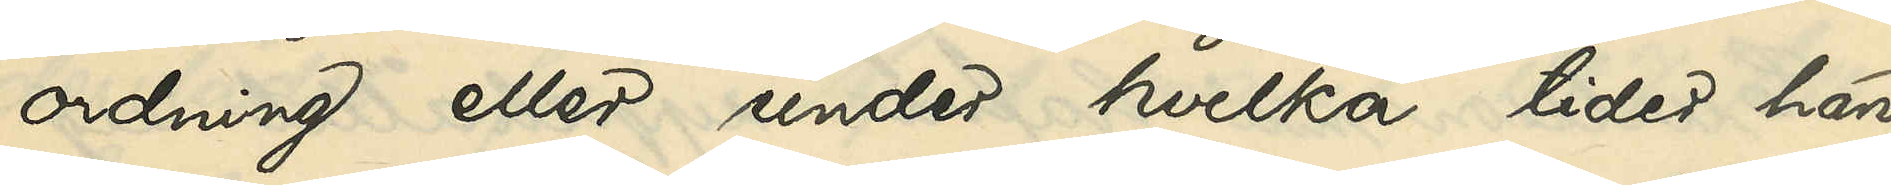ordning eller under hvilka tider han
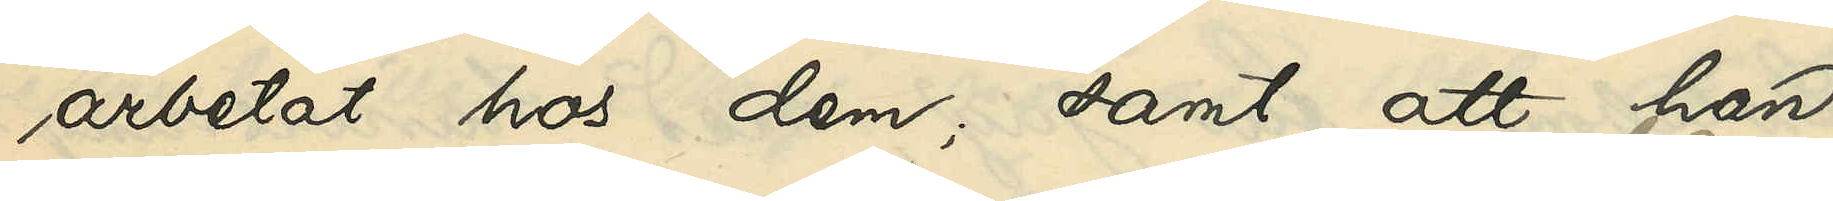arbetat hos dem; samt att han
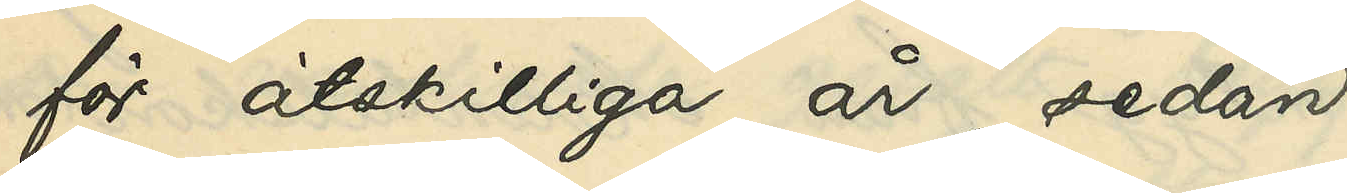för åtskilliga år sedan
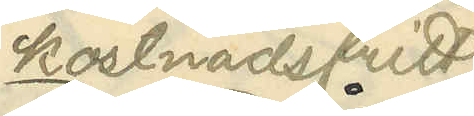kostnadsfritt
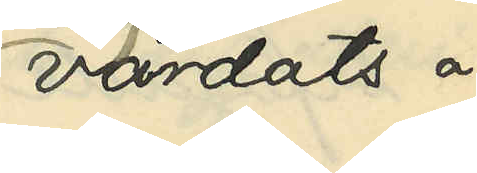vårdats å
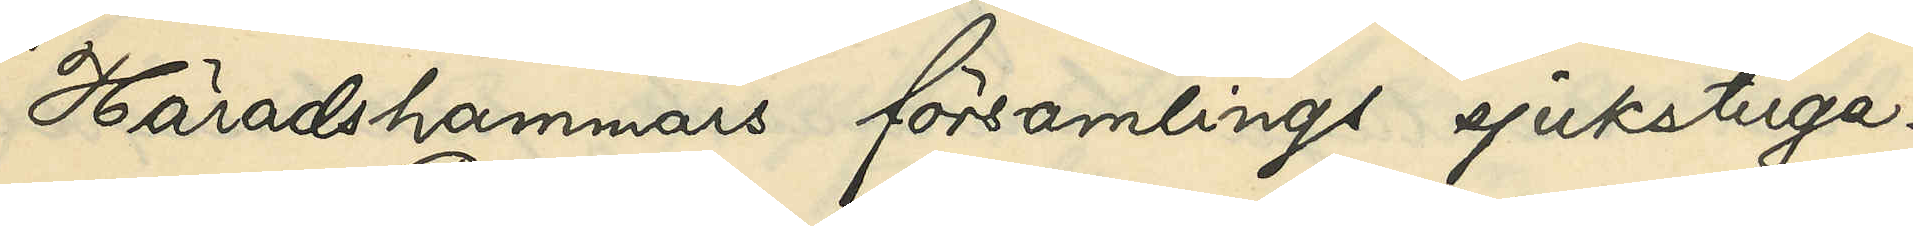Häradshammars församlings sjukstuga.
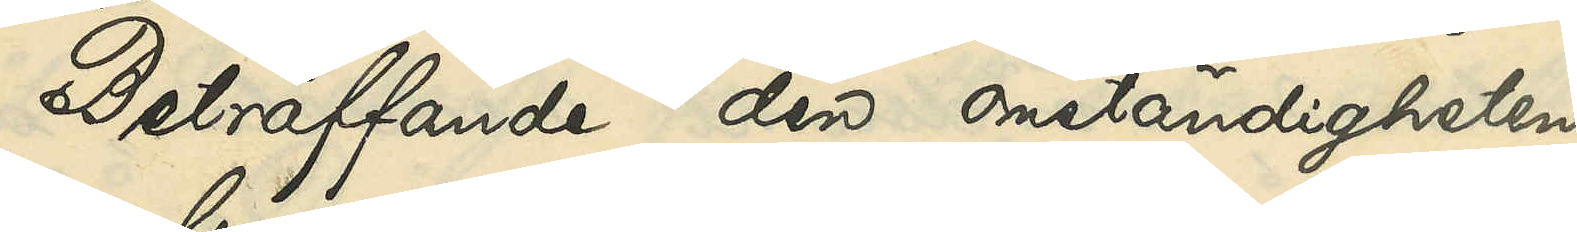Beträffande den omständigheten,
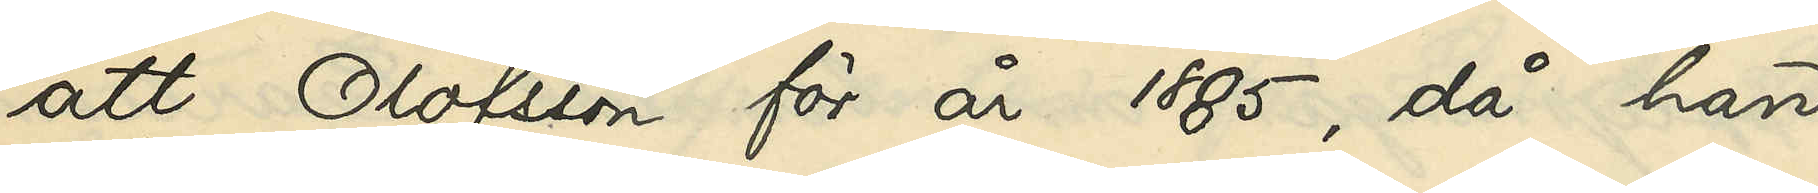att Olofsson för år 1885, då han
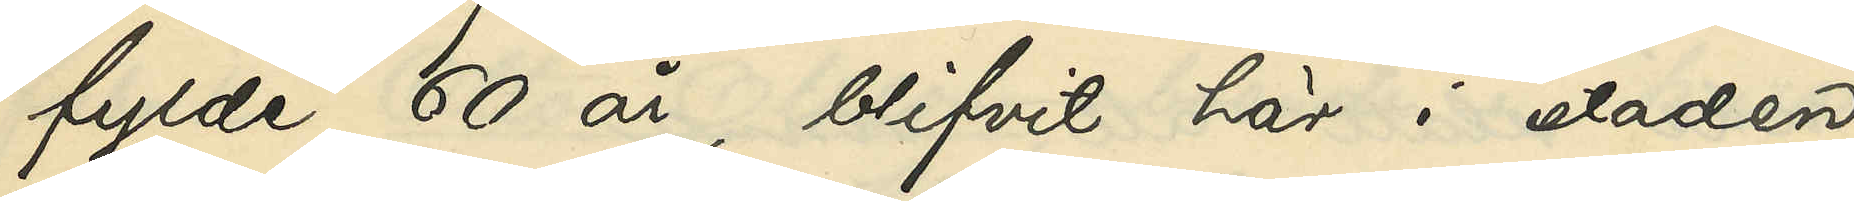fylde 60 år, blifvit här i staden
